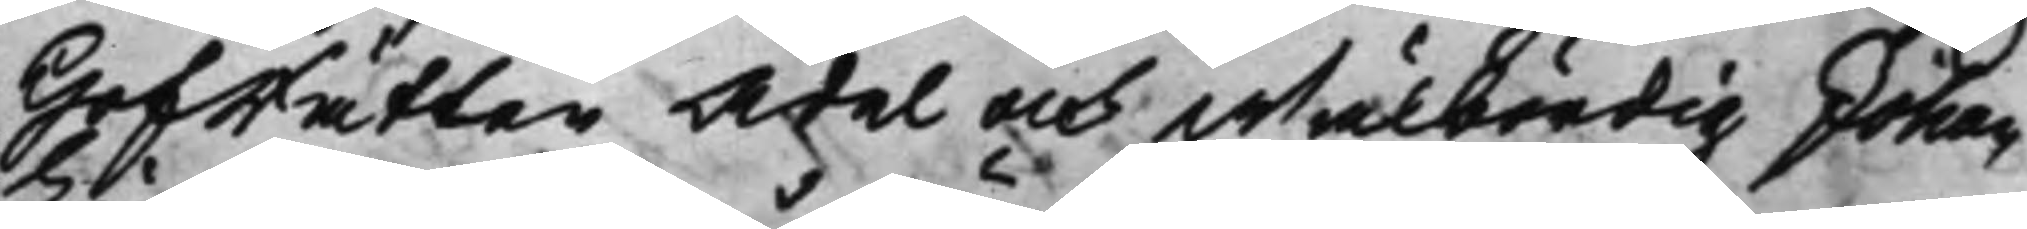Hofrätten Ädel och Wälbördig Johan
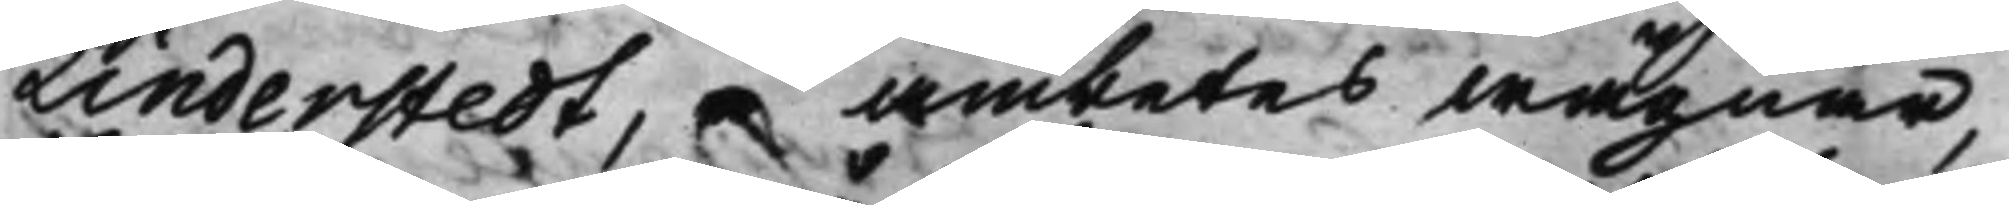Linderstedt, å ämbetes wägnar,
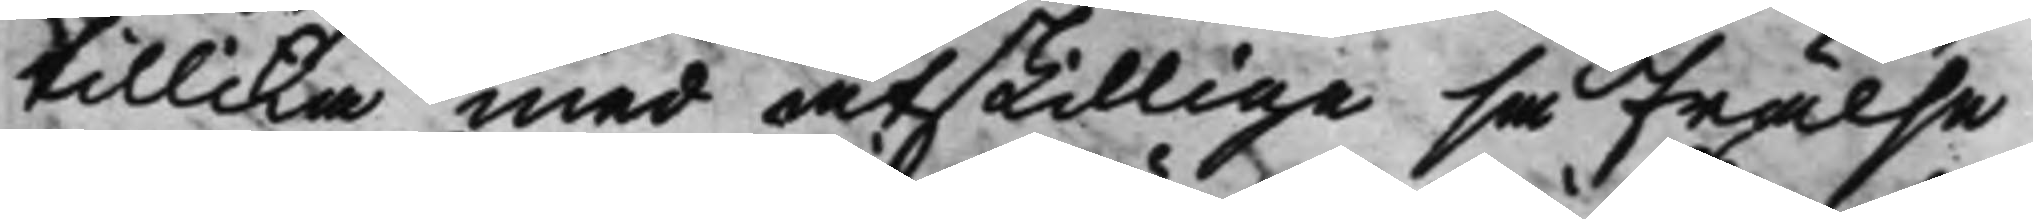tillika med åtskillige så Frälse
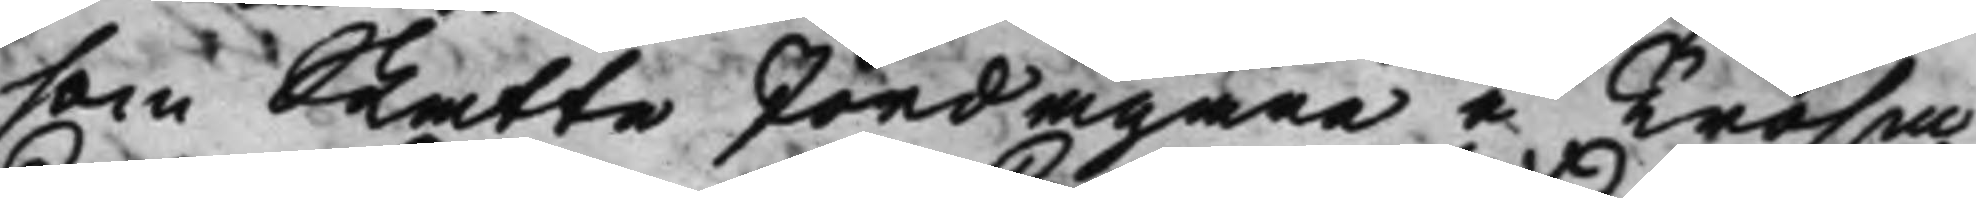som Skatte Jordägare i Trosa
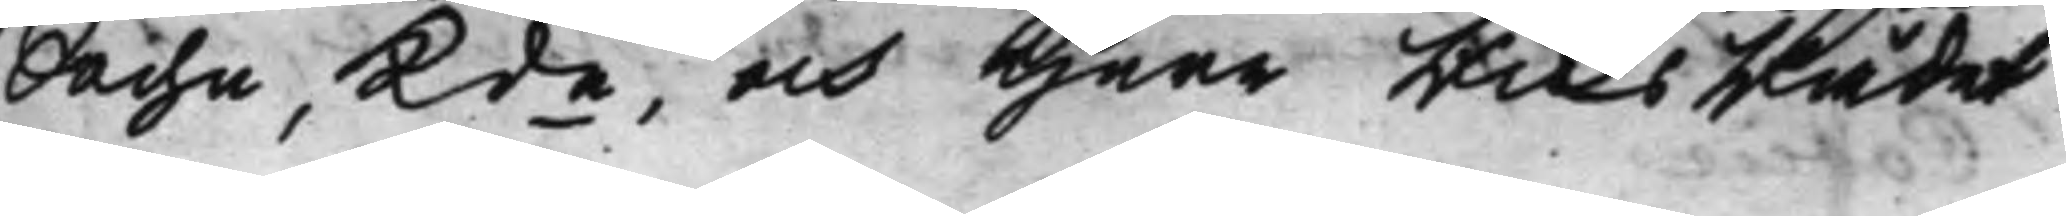Sochn, Kde, och Herr Riksrådet
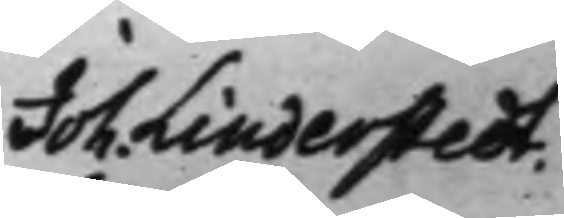Joh. Linderstedt.
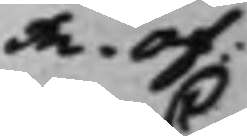m. of:
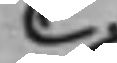C
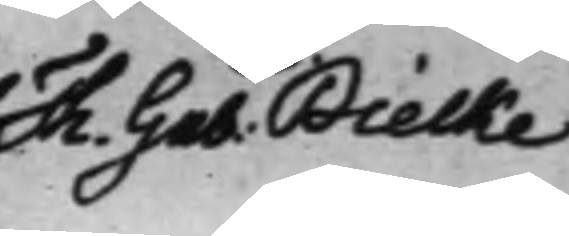Th. Gab: Bielke
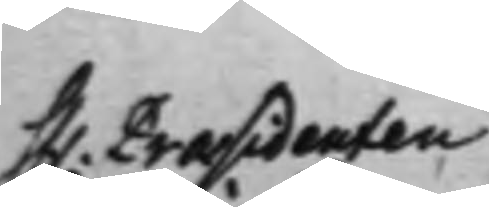H. Præsidenten
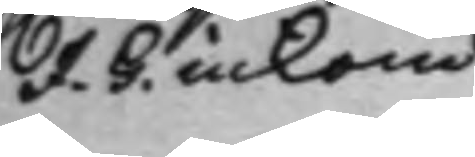J. G. inkom
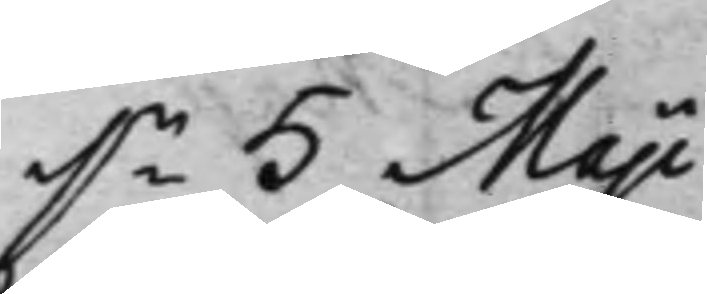dn 5 Maji
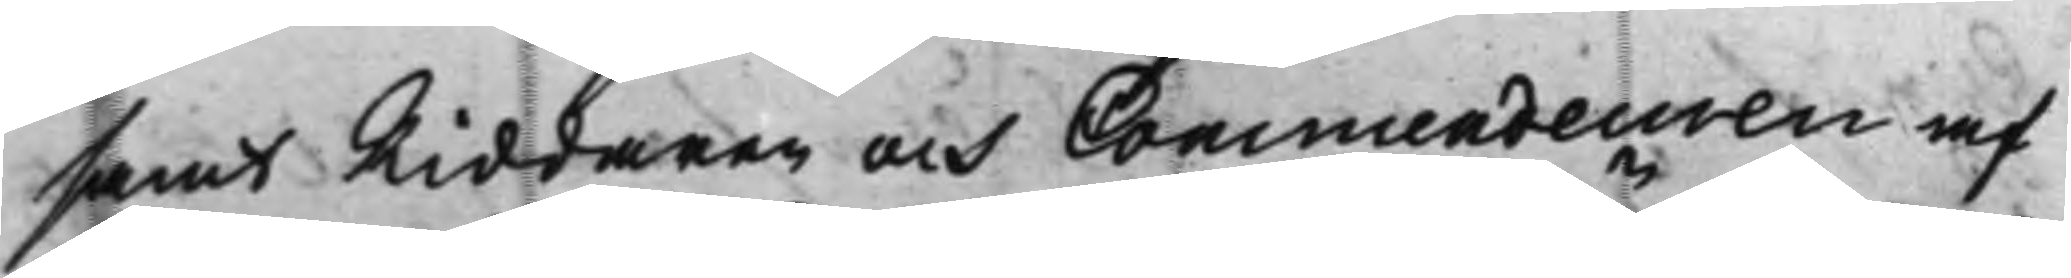samt Riddaren och Commendeuren af
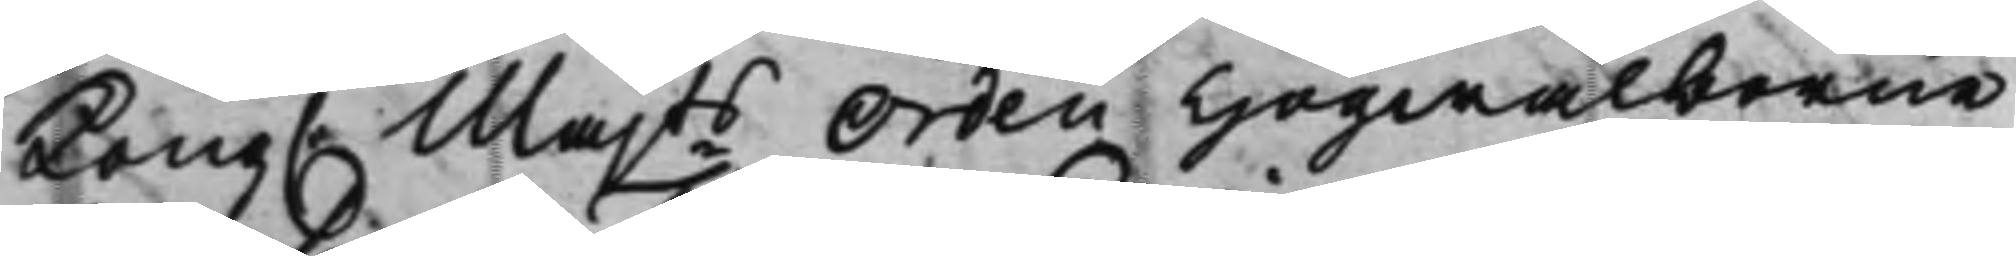Kong. Majts Orden Högwälborne
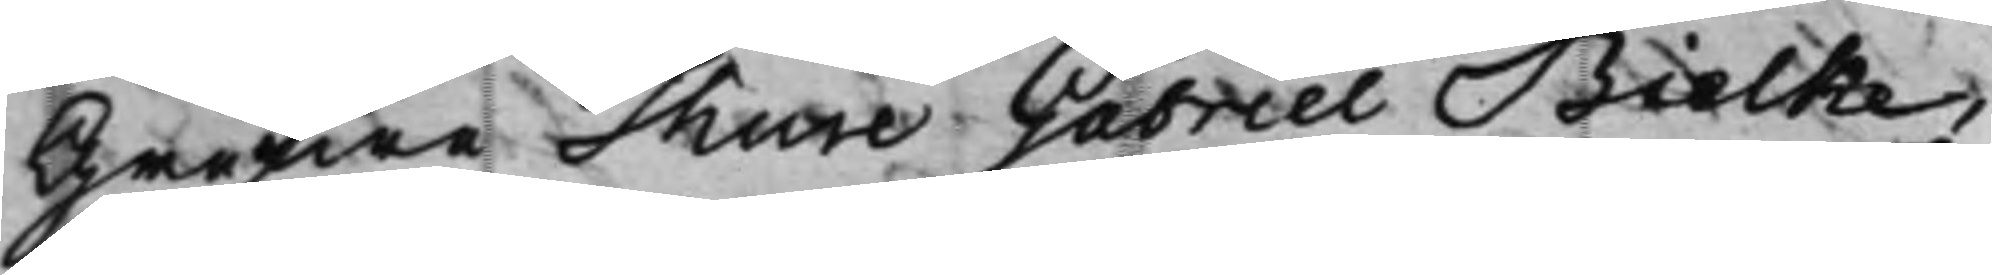Grefwe Thure Gabriel Bielke,
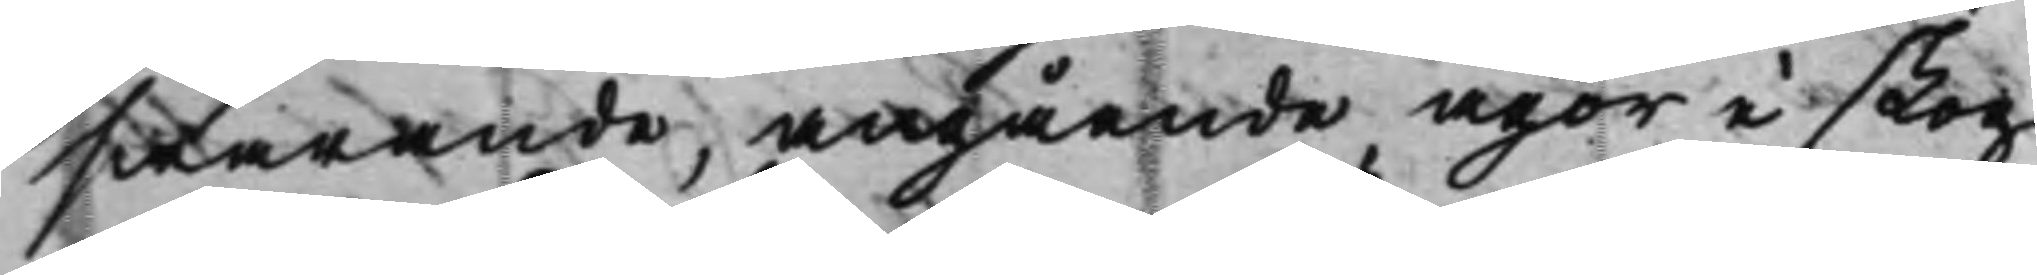swarande, angående ägor i skog
